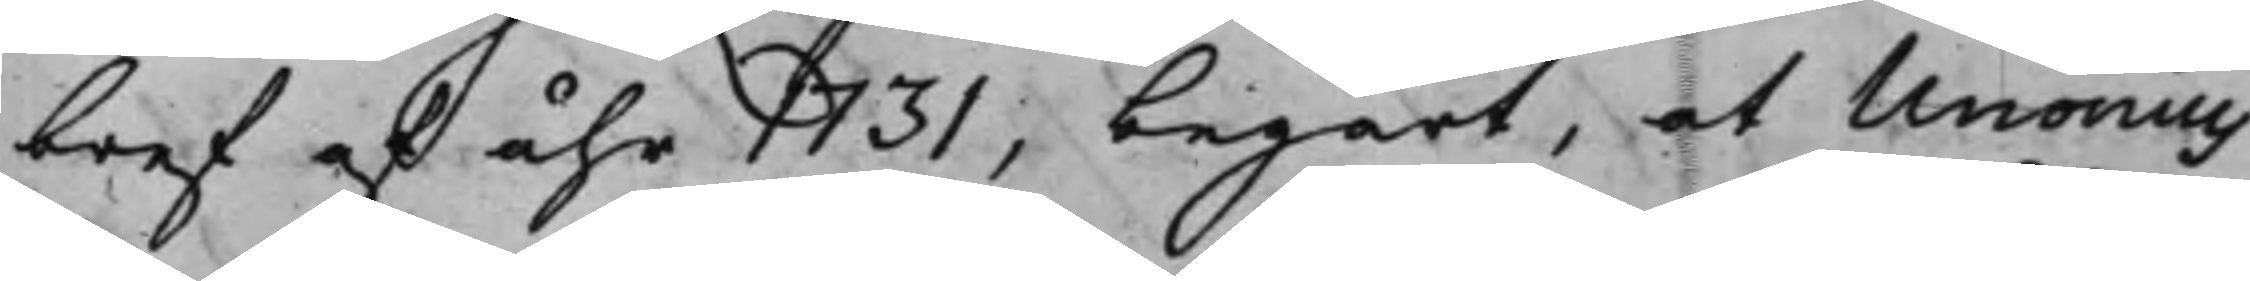bref af åhr 1731, begärt, at Unonius
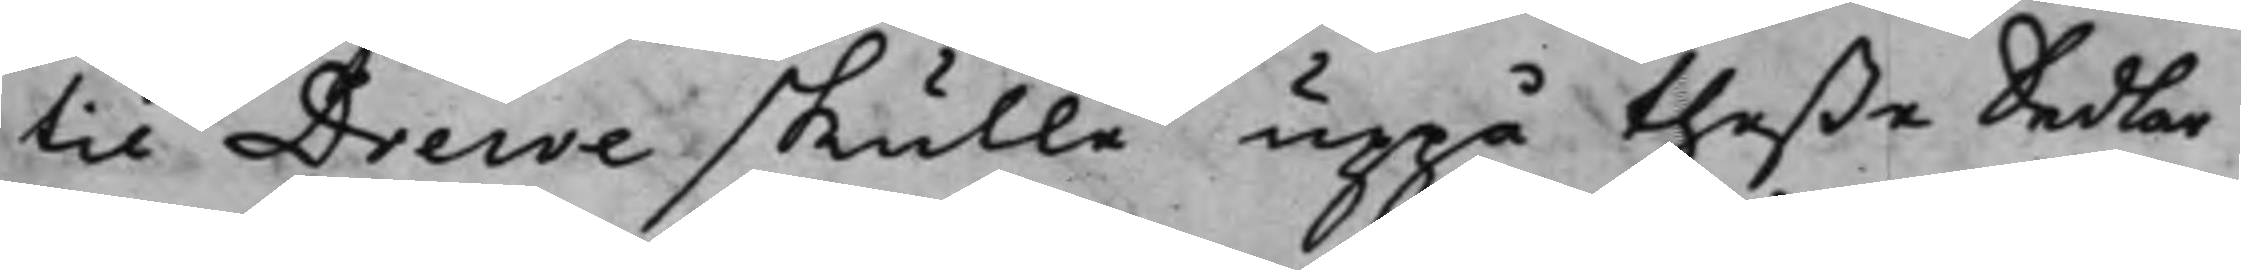til Drewe skulle uppå theße Sedlar
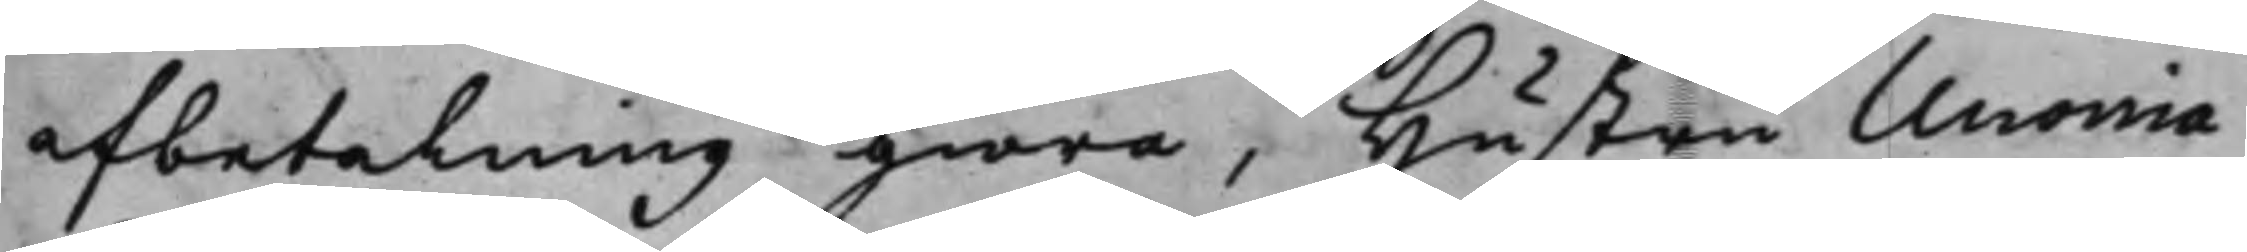afbetalning giöra, Hustru Unonia
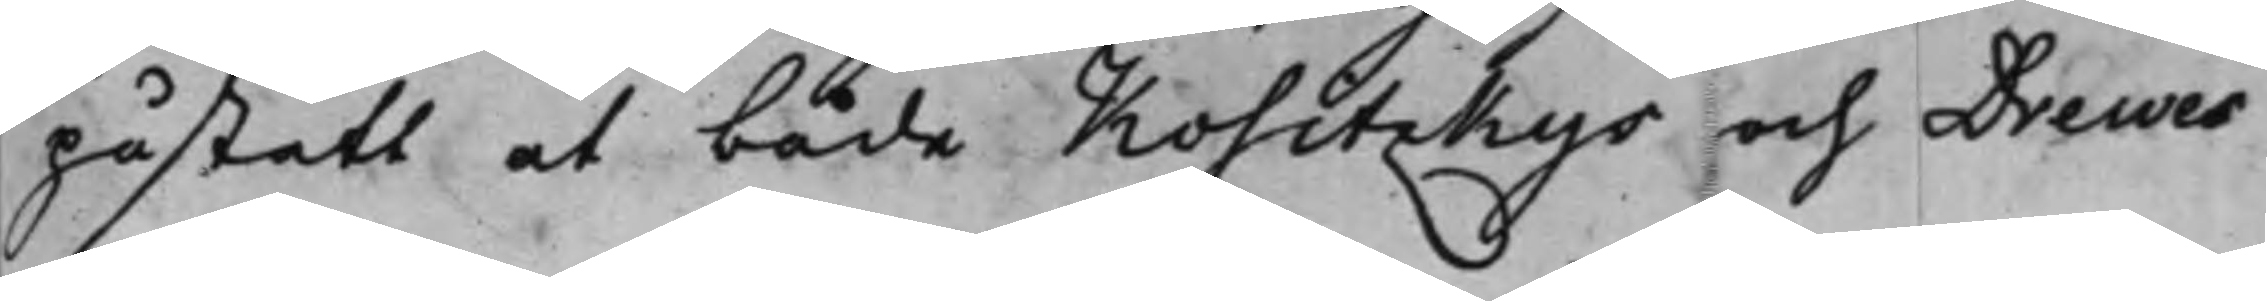påstått at både Kositzkys och Drewes
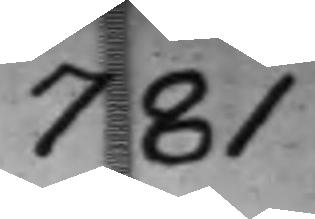781
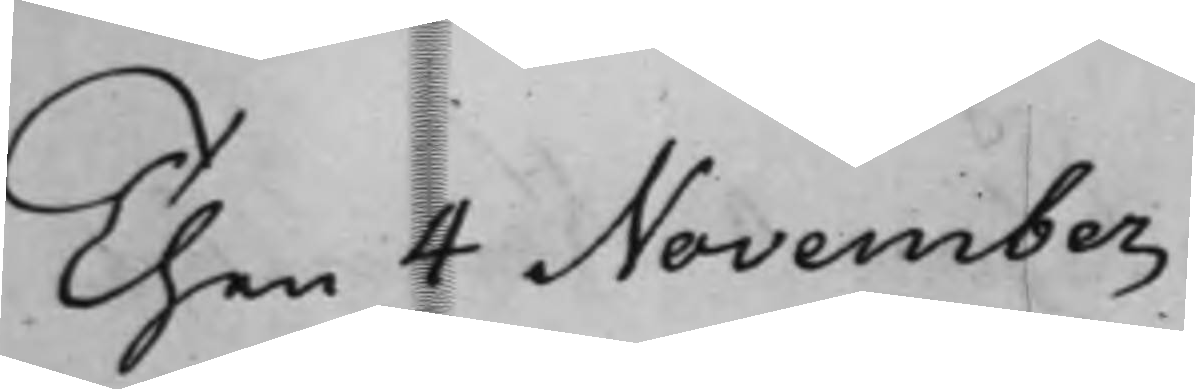Then 4 November
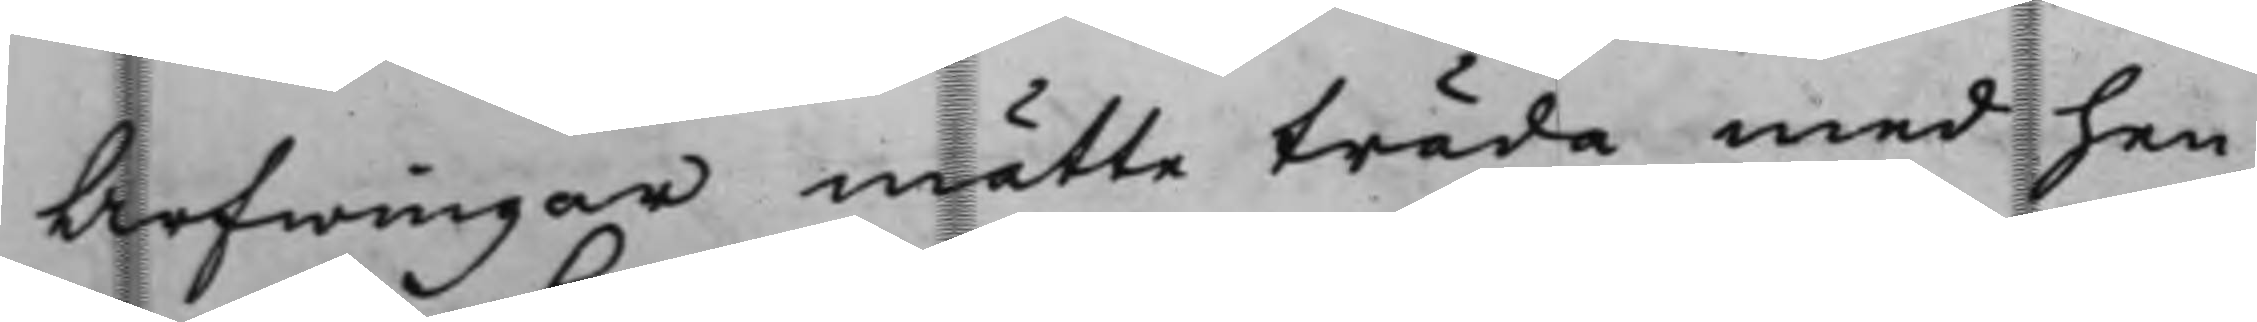Arfwingar måtte träda med hen¬
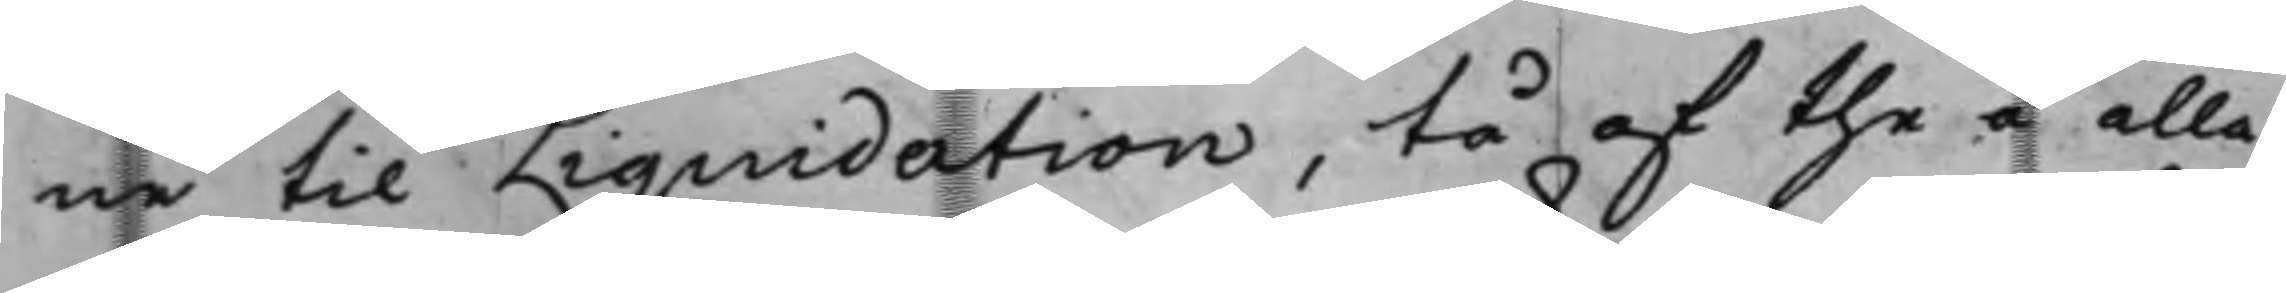ne til Liquidation, tå af the å alla
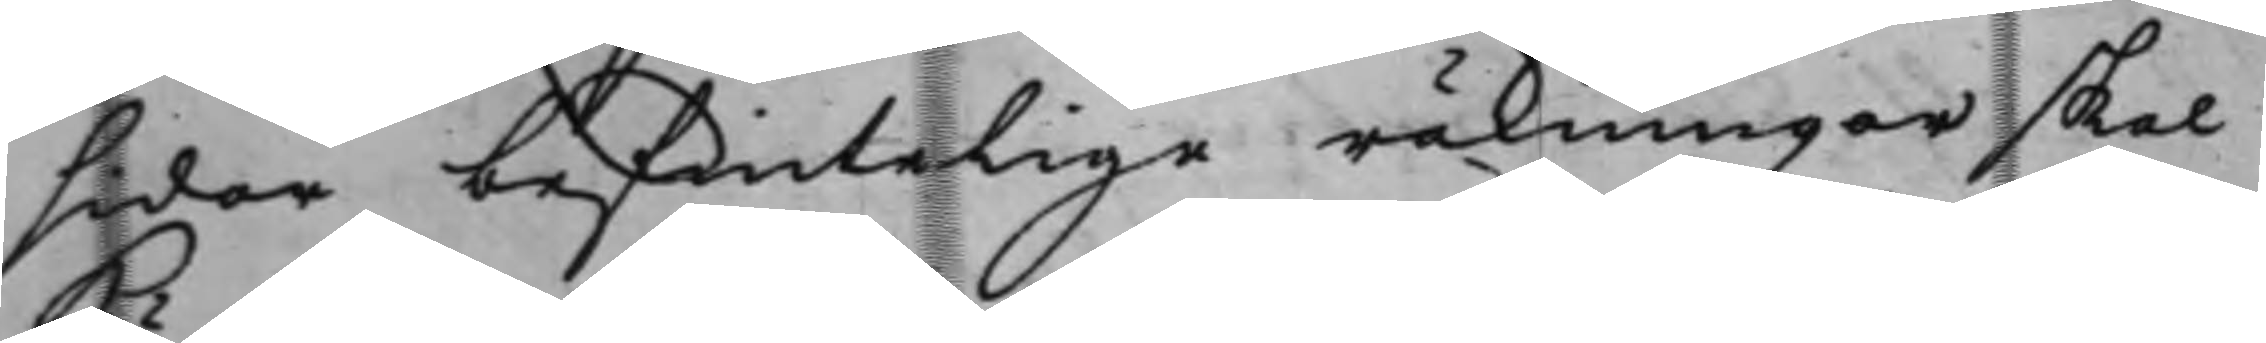sidor befintelige räkningar skal
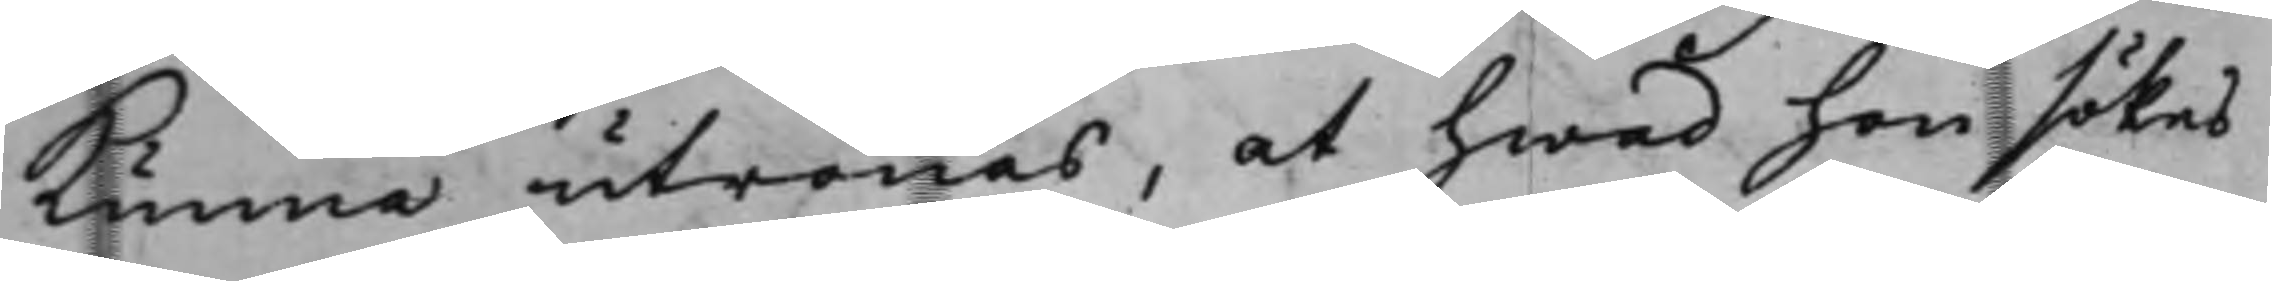kunna utrönas, at hwad hon sökes
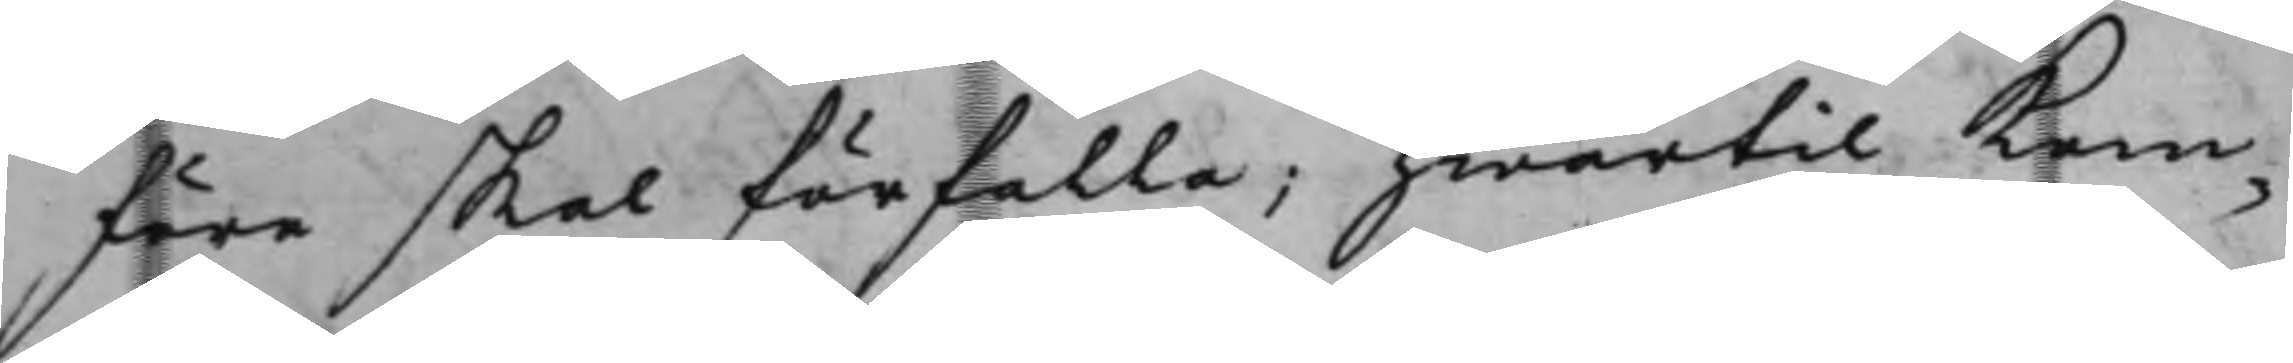före skal förfalla; hwartil kom¬
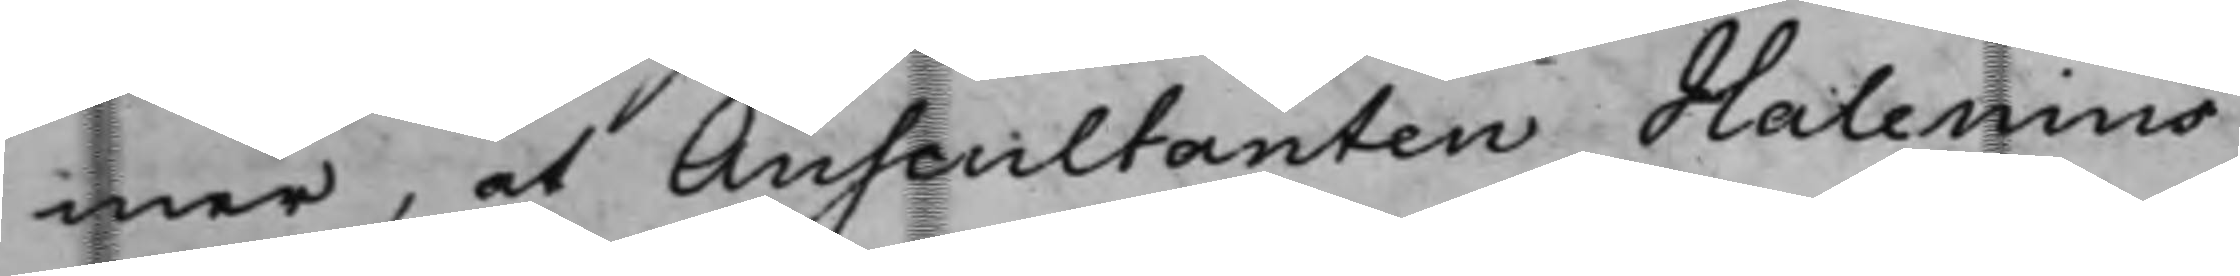mer, at Auscultanten Halenius
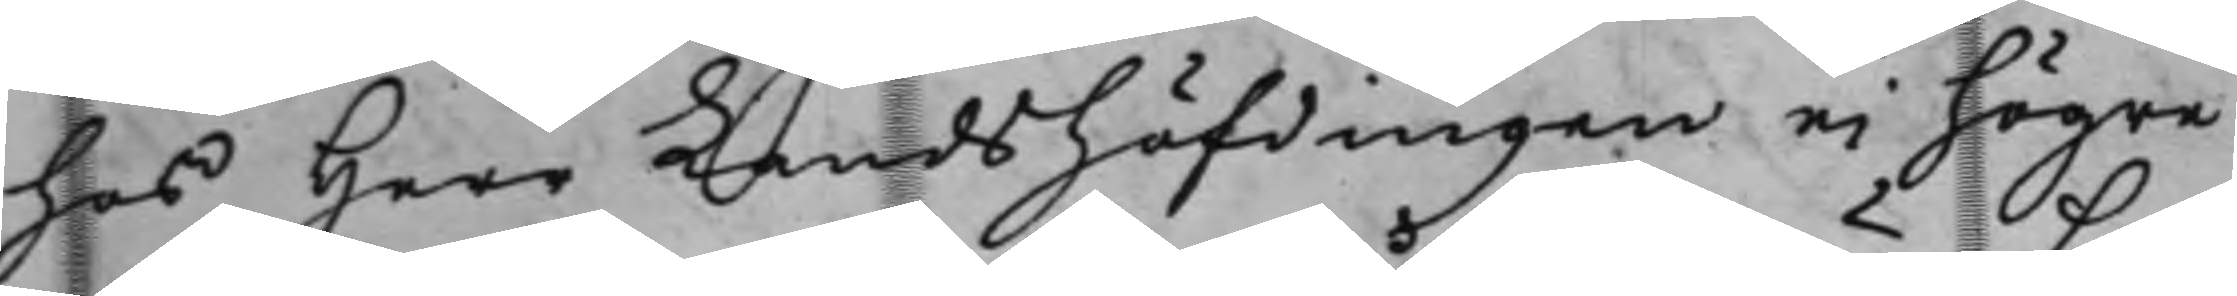hos Herr Landshöfdingen ei högre
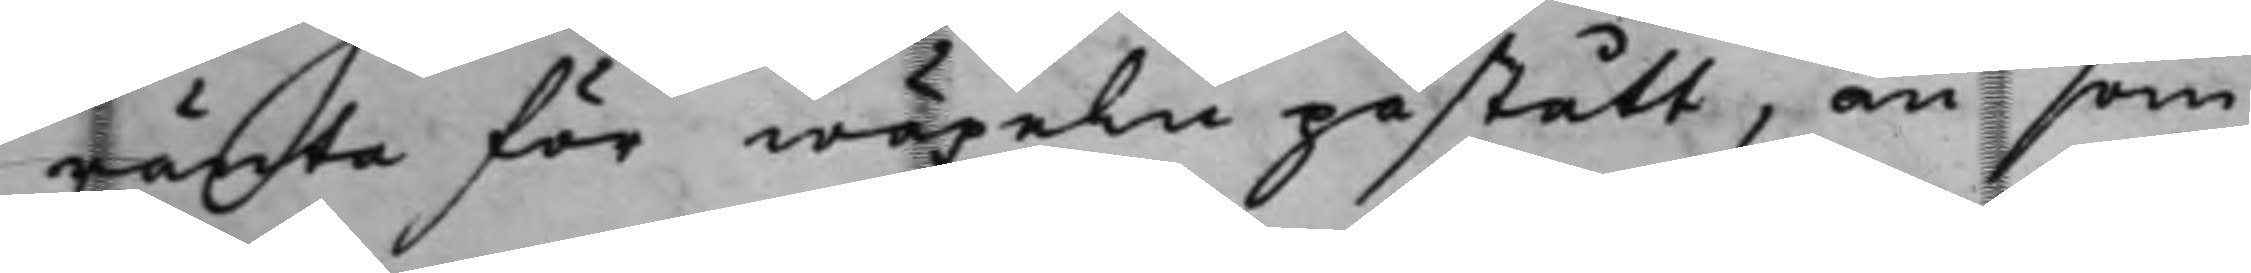ränta för wäxeln påstått, än som
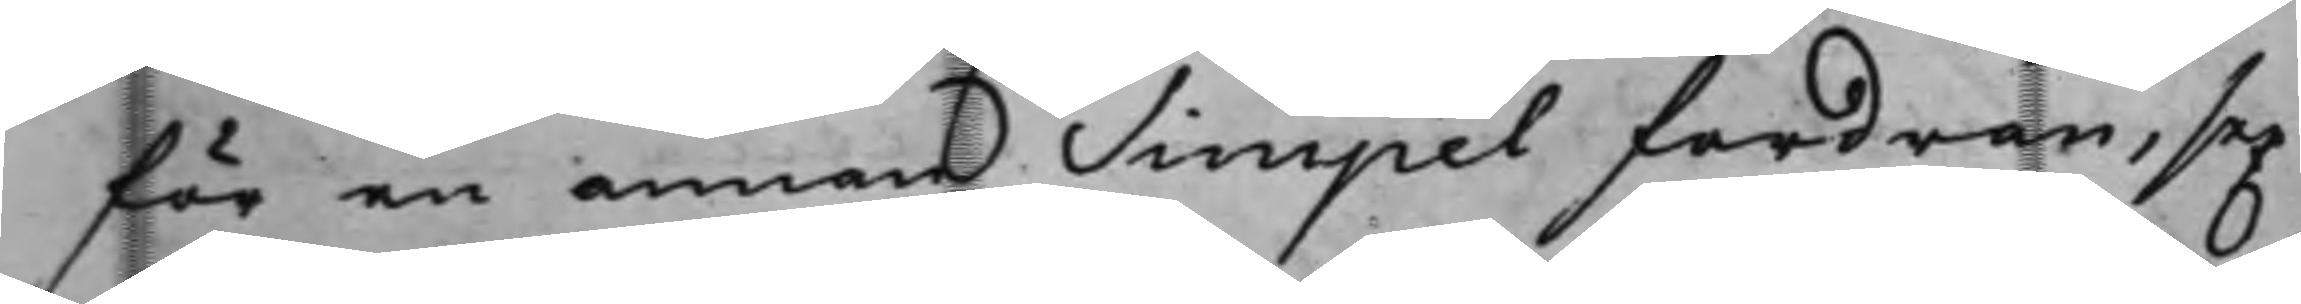för en annan simpel fordran, sex
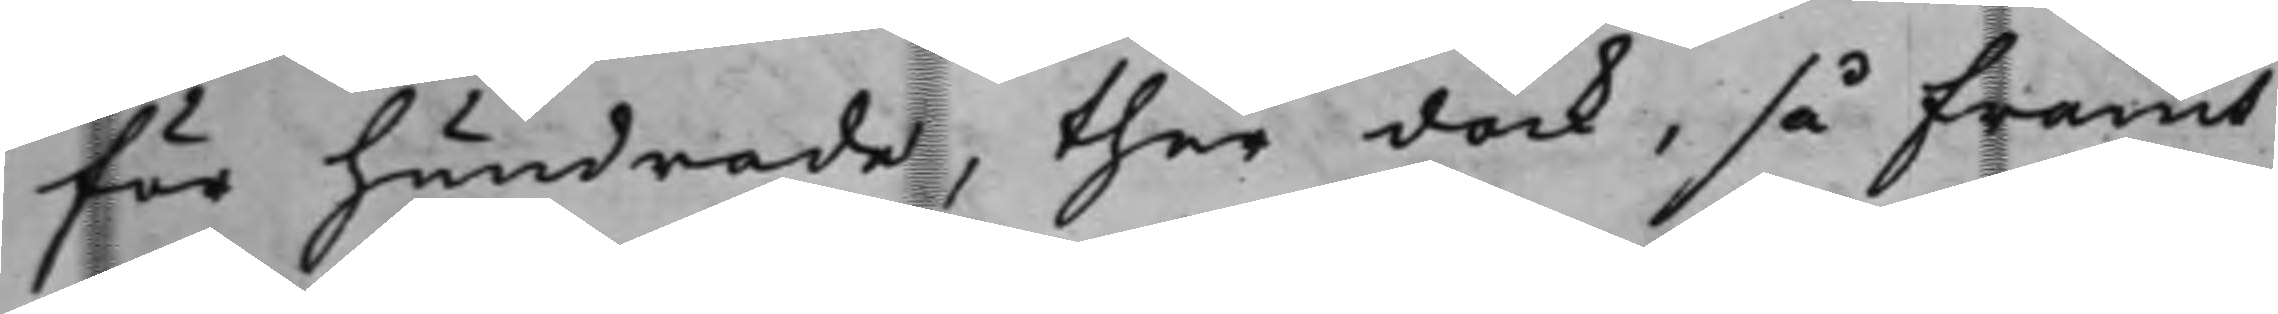för hundrade, ther dock, så framt
